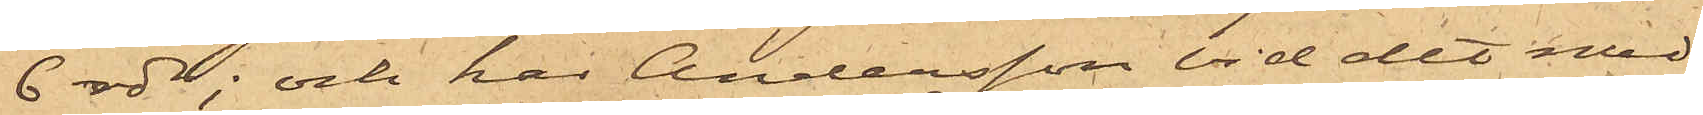6 rdr; och har Andersson vid det med
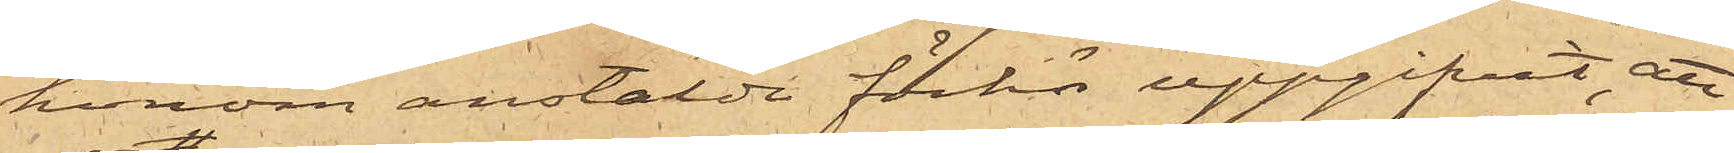honom anstälde förhör uppgifvit, att
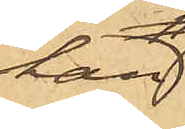han
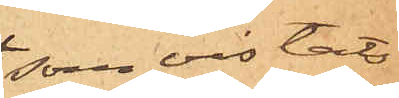som vistats
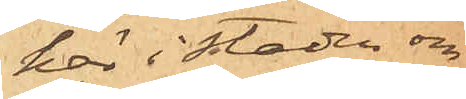här i staden om¬
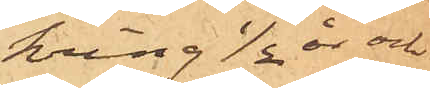kring 1/2 år och
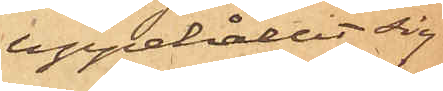uppehållit sig
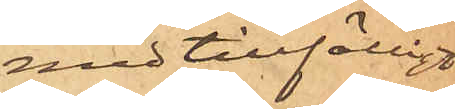med tillfälligt
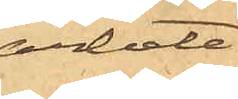arbete
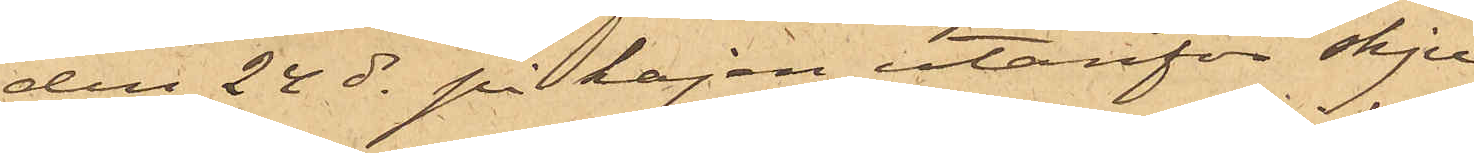den 24 ds på kajen utanför skju¬
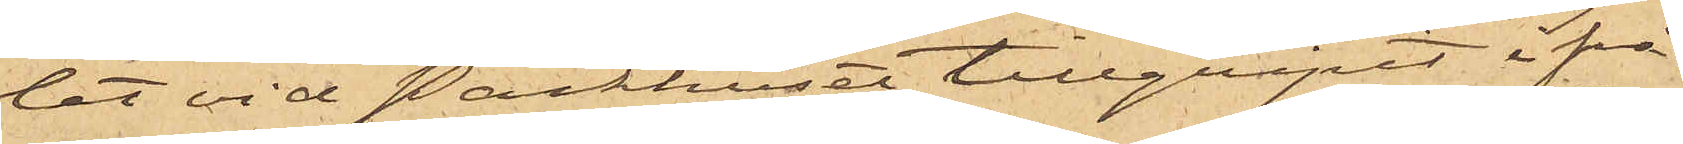let vid Packhuset tillgripit ifrå¬
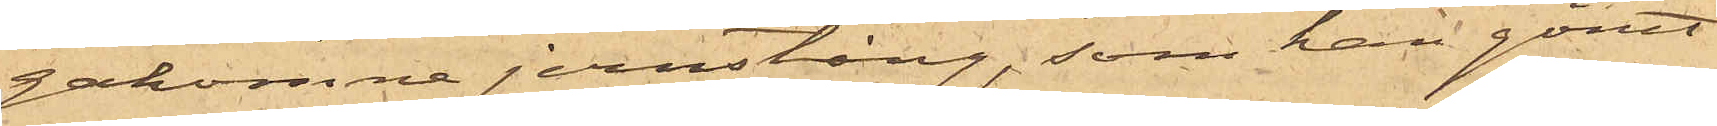gakomne jernstång, som han gömt
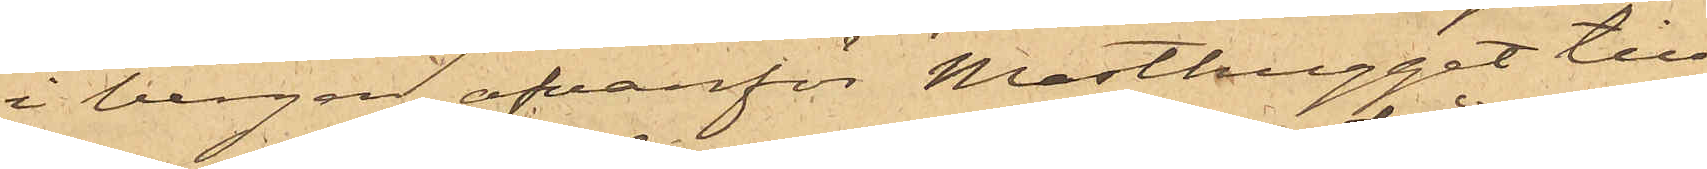i bergen ofvanför Masthugget till
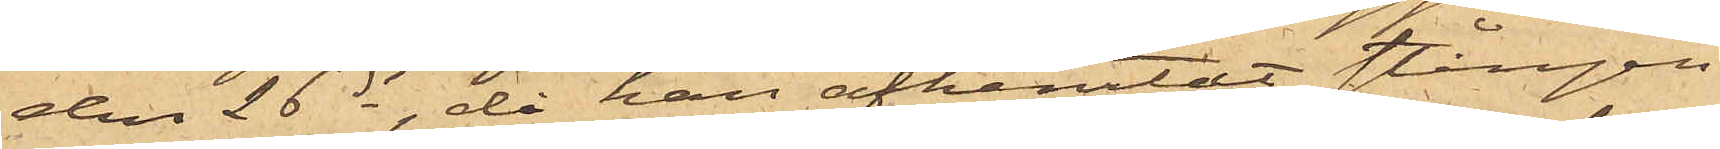den 26 ds, då han afhemtat stången
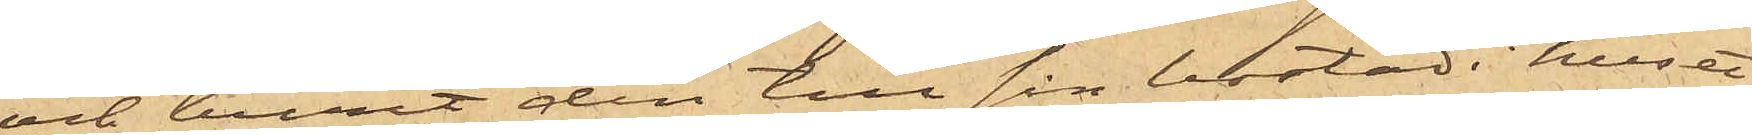och burit den till sin bostad i huset
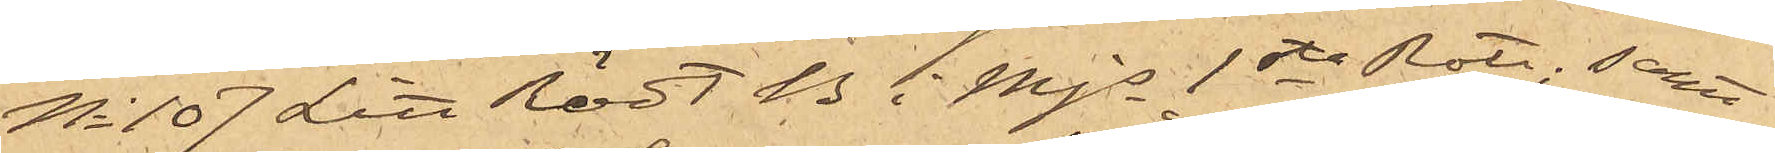No 107 Litt Rödt B i Mjs 1sta Rote; samt
